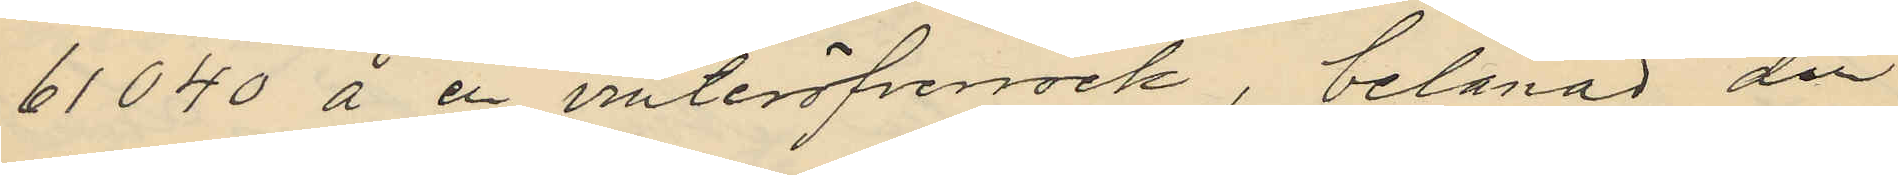61040 å en vinteröfverrock, belånad den
